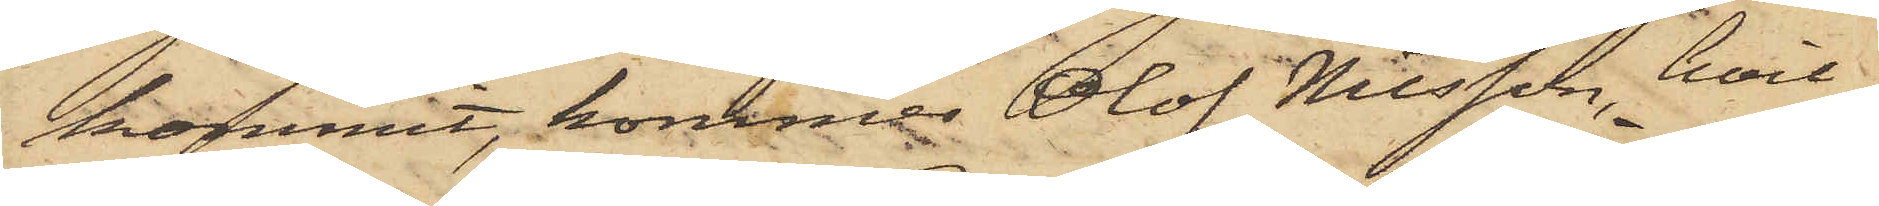kommit, kommer Olof Nilsson, hvil¬
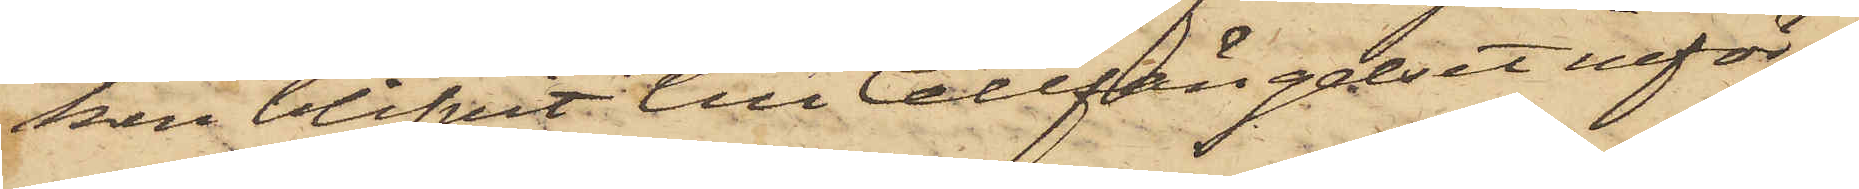ken blifvit till Cellfängelset inför¬
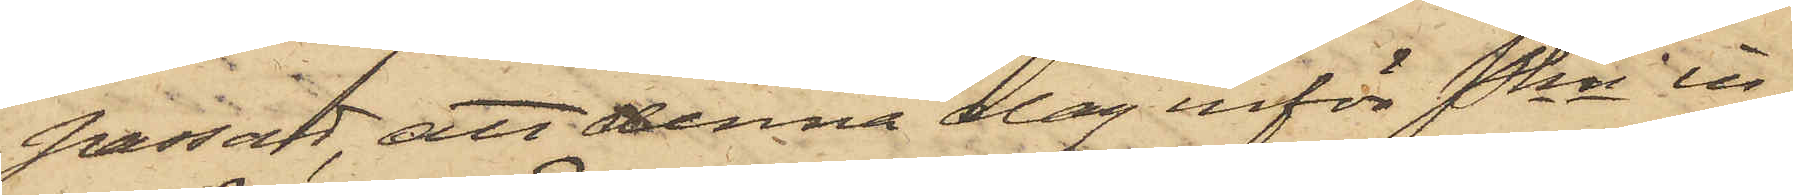passad, att denna dag inför Pkn in¬
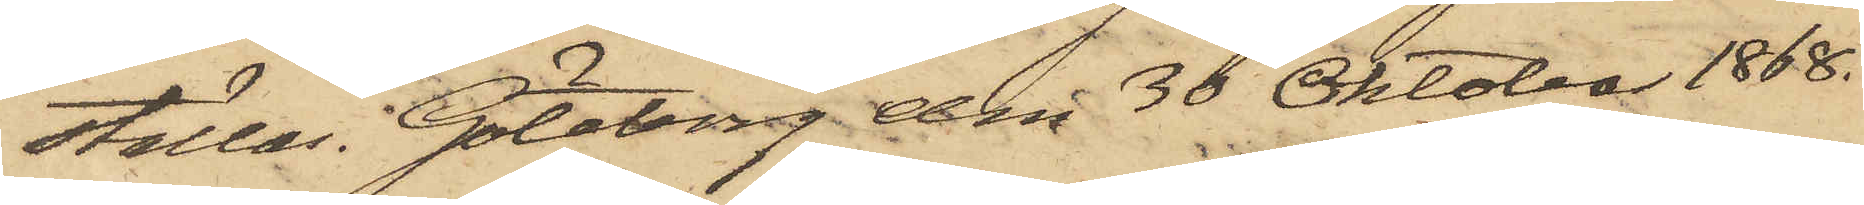ställas. Göteborg den 30 Oktober 1868.
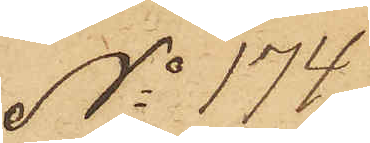No 174.
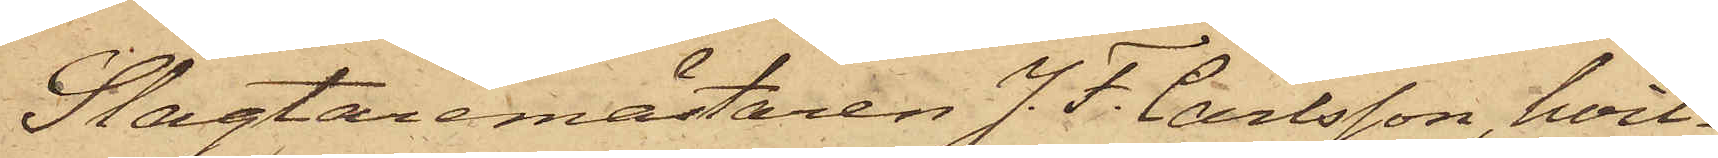Slagtaremästaren J. F. Carlsson, hvil¬
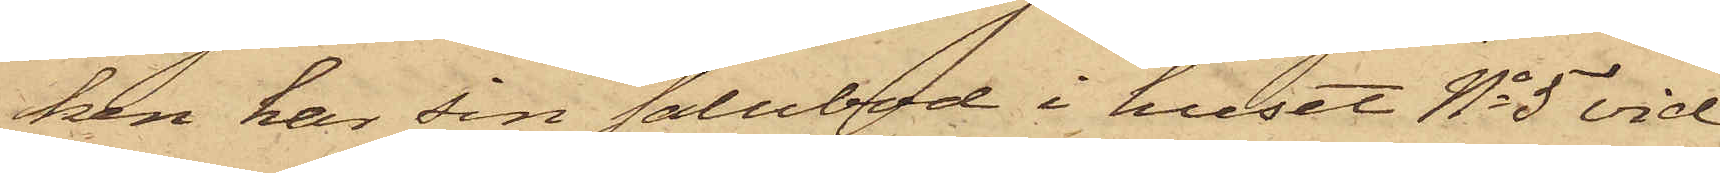ken har sin salubod i huset No 5 vid
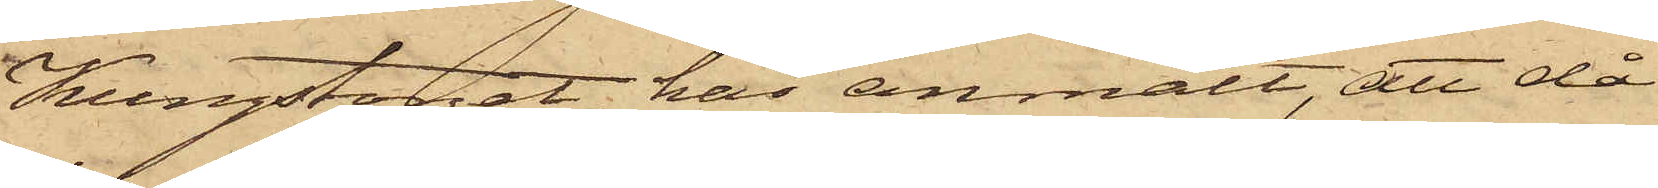Kungstorget, har anmält, att då
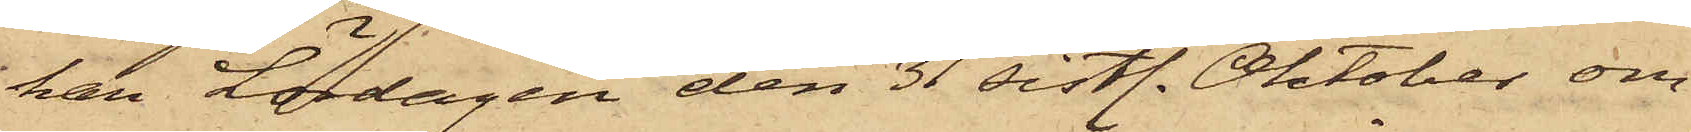han Lördagen den 31 sistl. Oktober om¬
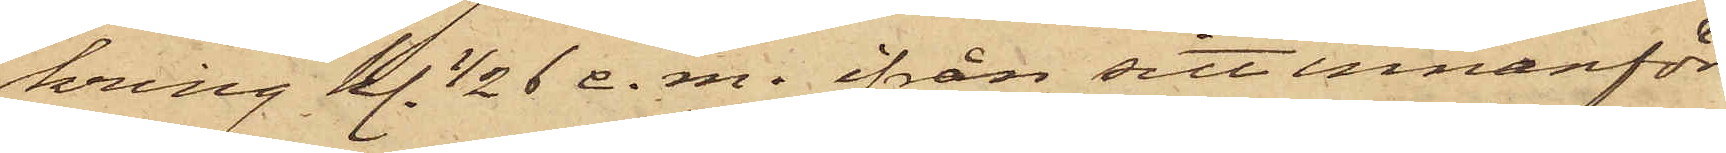kring kl. 1/2 6 e. m. ifrån sitt innanför
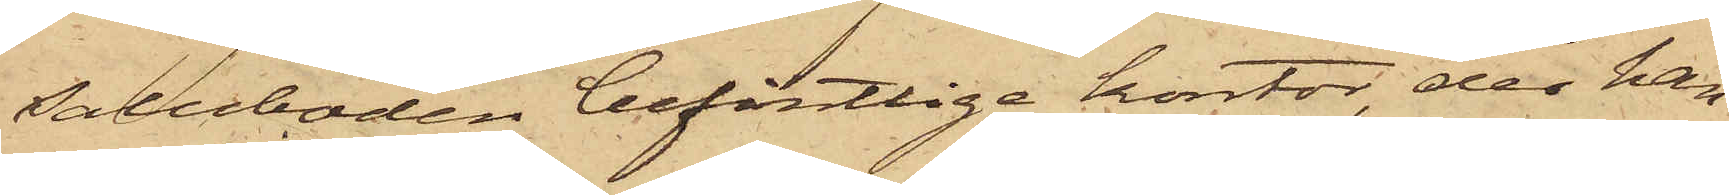saluboden befintlige kontor, der han
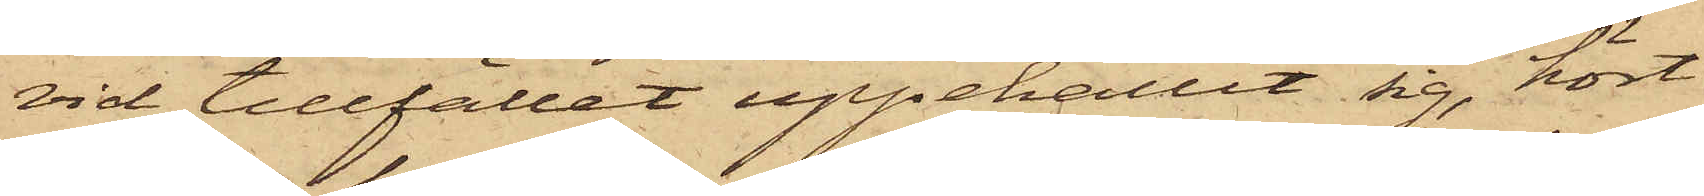vid tillfället uppehållit sig, hört
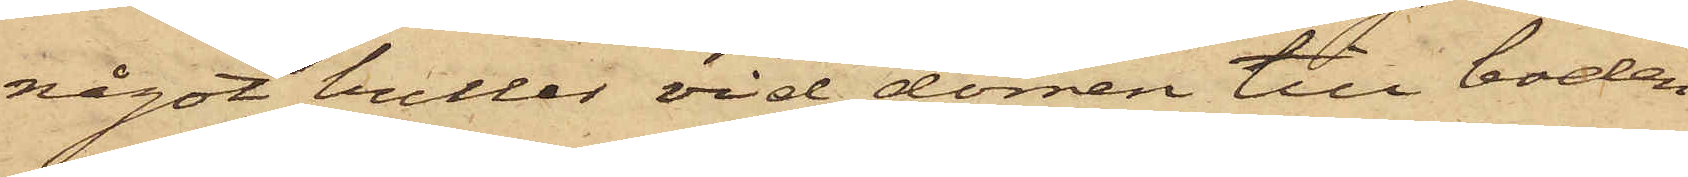något buller vid dörren till boden
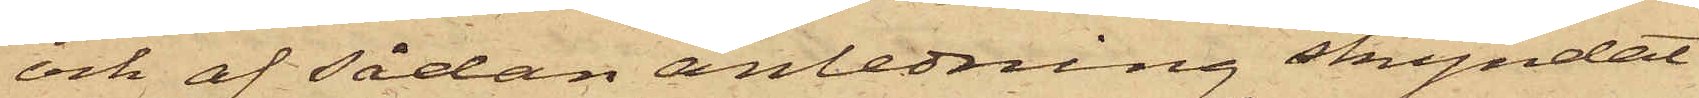och af sådan anledning skyndat
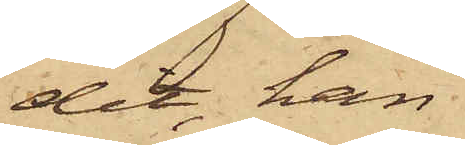dit, han
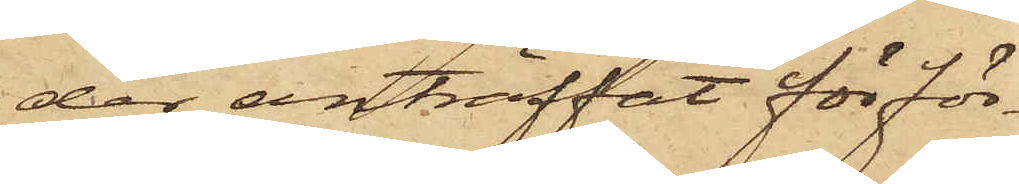der anträffat för för¬
